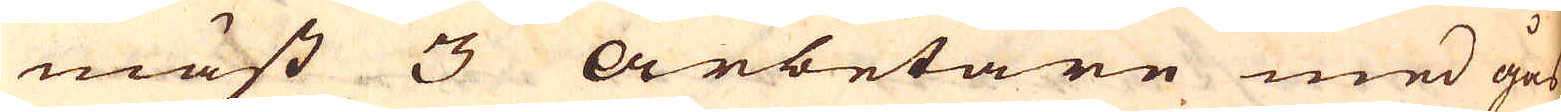mäst 3 arbetare med gås-
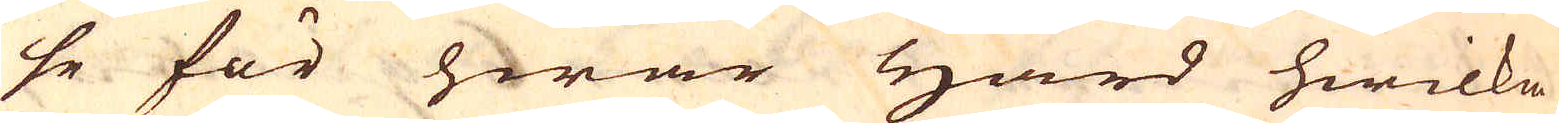se för hwar härd hwilka
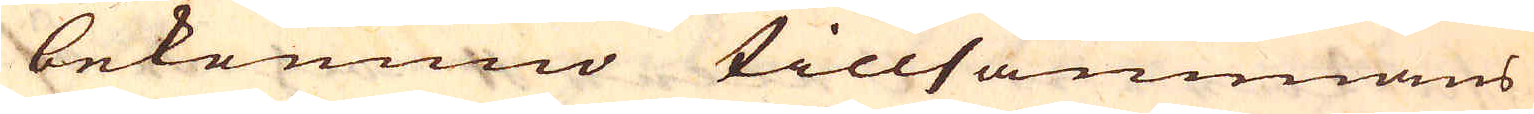bekommo tillsammans
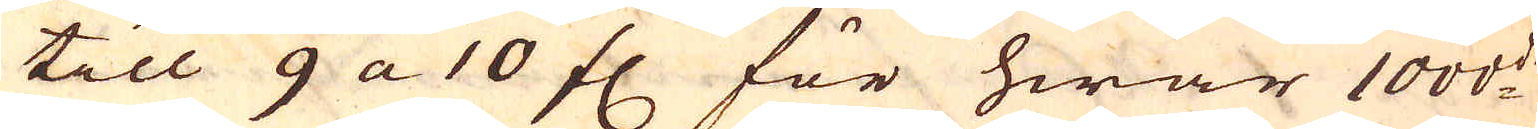till 9 a 10 fl för hwar 1000:de
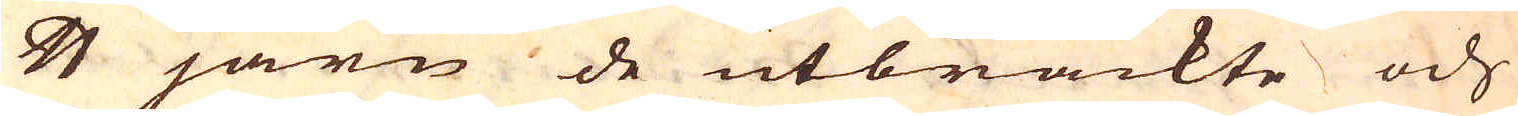skålpund järn de utbrackte och
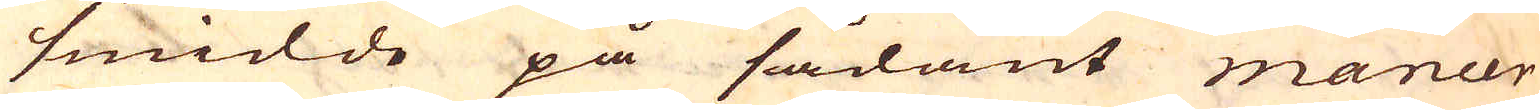smidde på sådant maneer
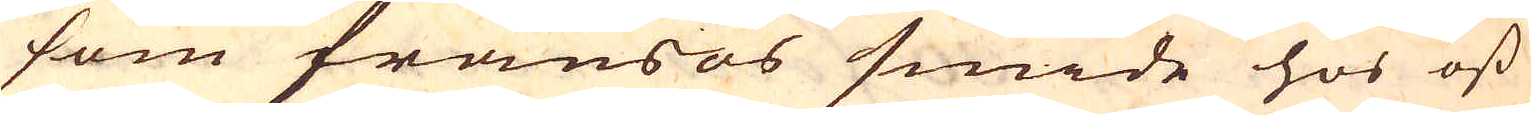som fransos smide hos oss
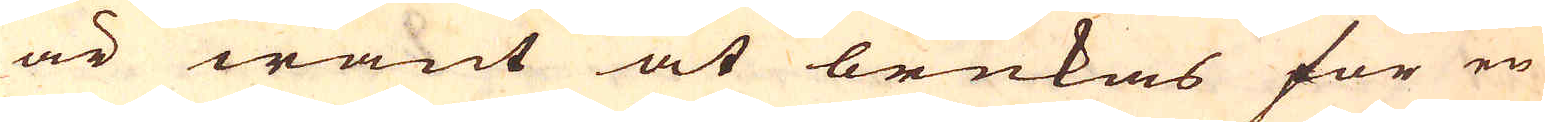är want at brukas för en
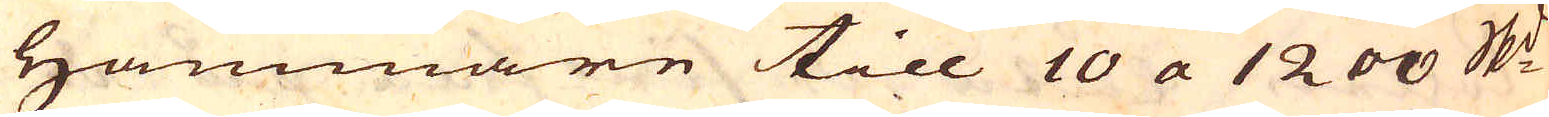Hammare till 10 a 1200 skeppund
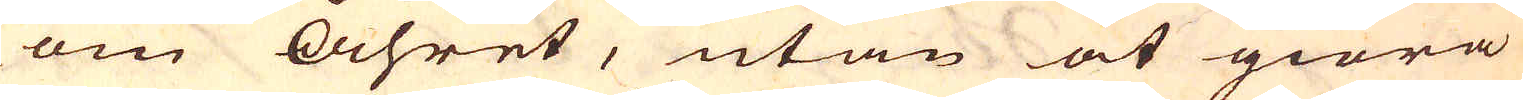om Åhret, utan at giöra
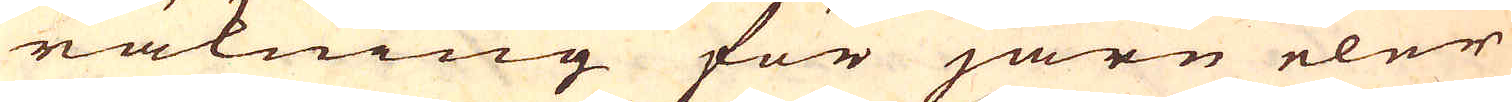räkning för järn eler
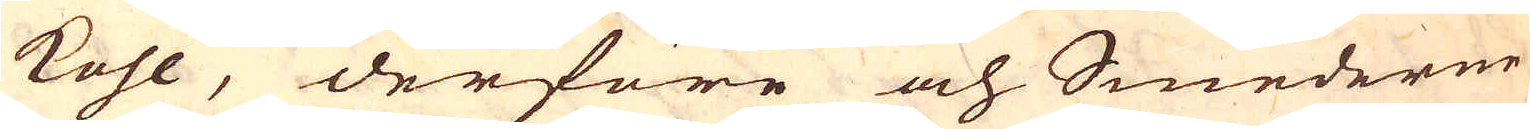kohl, derföre och Smederne
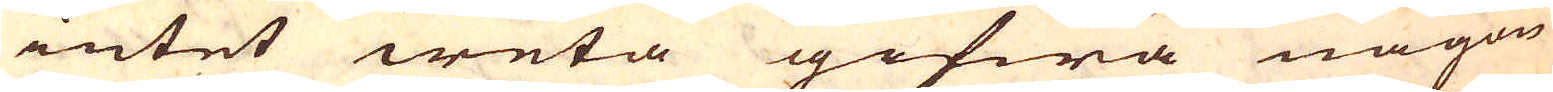intet weta gifwa någon
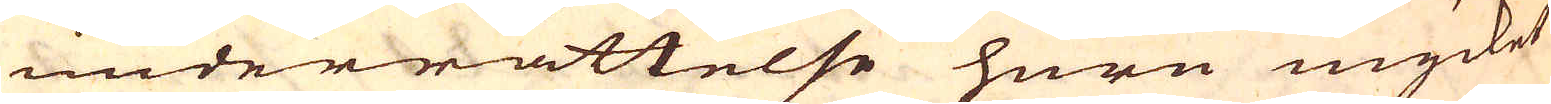underrättelse huru mycket
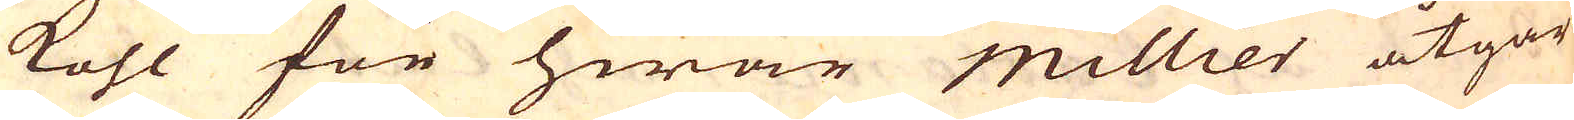kohl för hwar millier åtgår
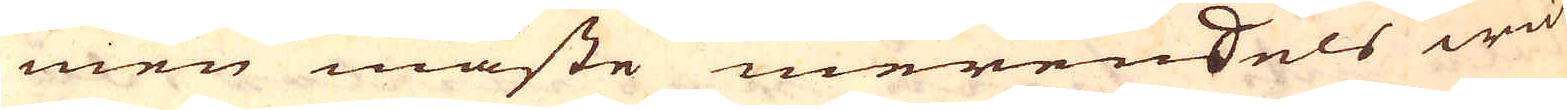men måste merendels wid
